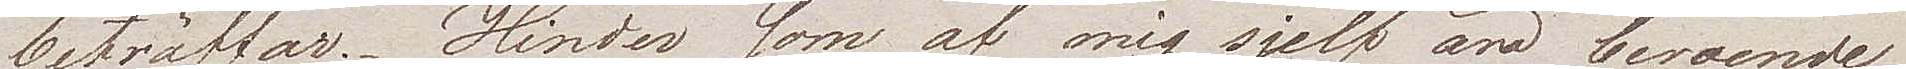beträffar. Hinder som af mig sjelf äro beroende
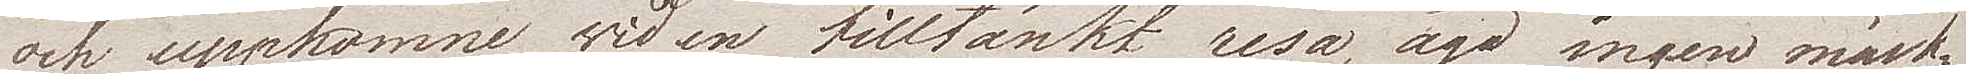och uppkommer wid en tilltänkt resa, äga ingen märk¬
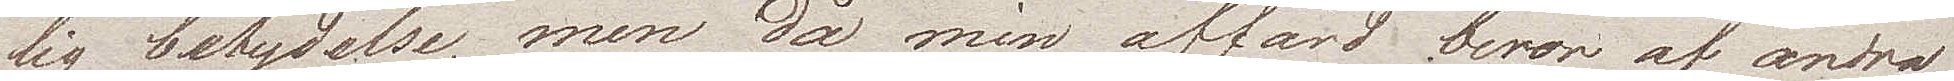lig betydelse, men då min affärd beror af andra
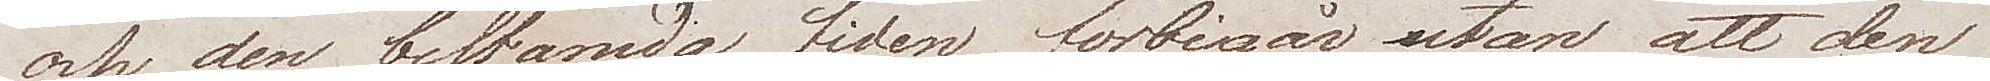och den bestämda tiden förbigår utan att den
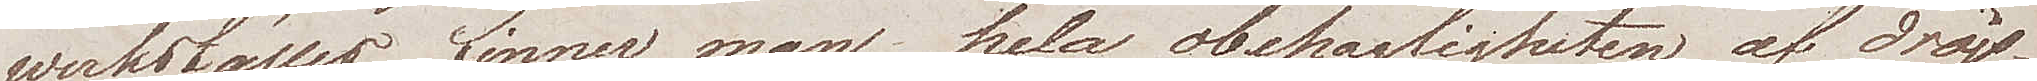werkställes, finner man hela obehagligheten af dröjs¬
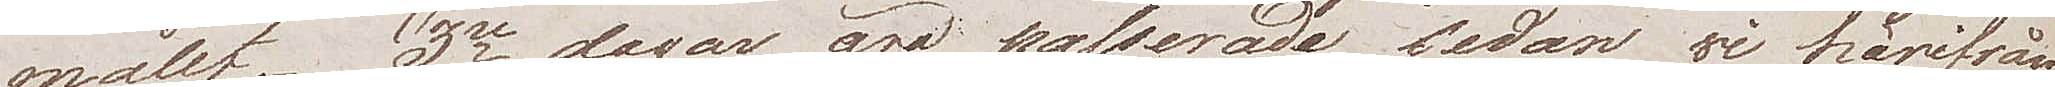målet. 3ne dagar äro passerade sedan wi härifrån
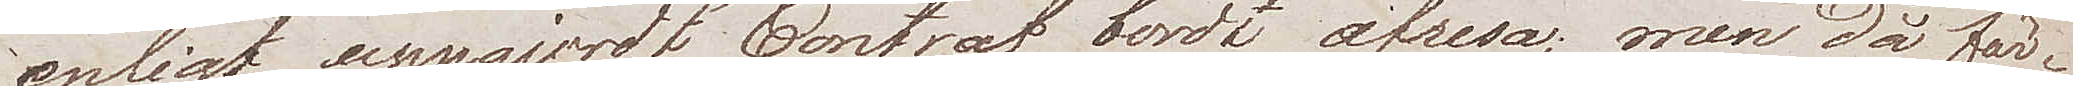enligt uppgjort Contrat borde afresa; men då fär¬
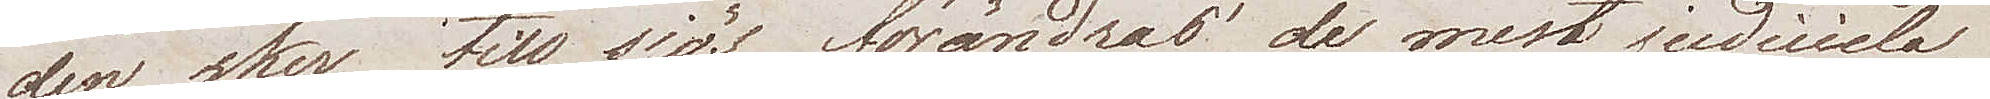den sker till sjös förändras de mest judiciela 
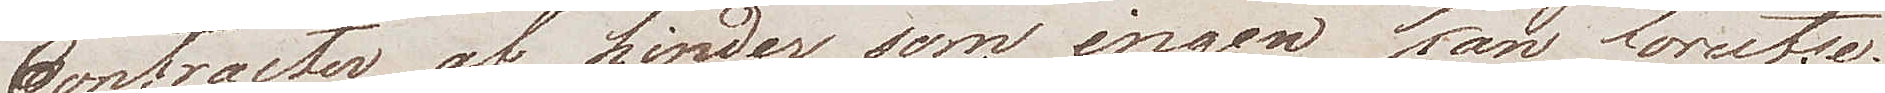Contracter af hinder som ingen kan förutse.
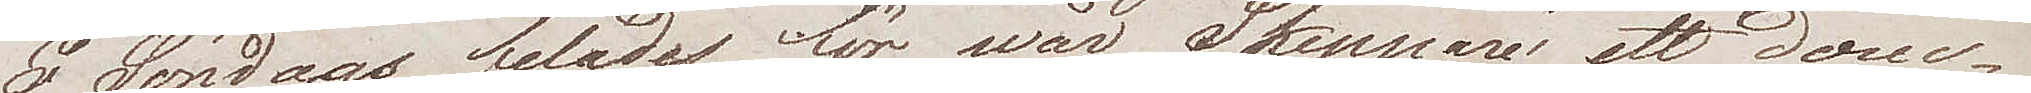I Söndags felades för wår Skeppare ett docu¬
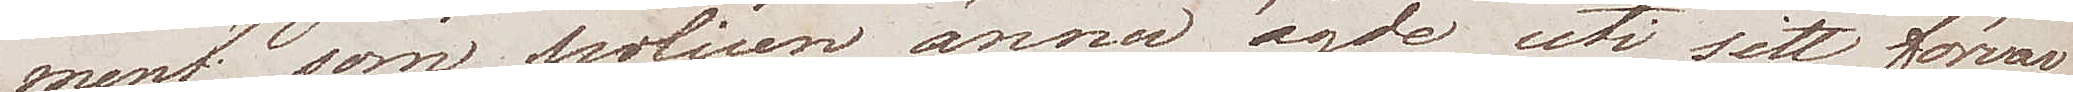ment, som polisen ännu ägde uti sitt förvar,
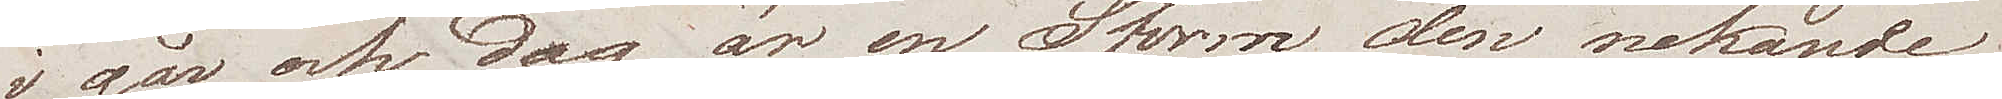i går och dag är en Storm den nekande
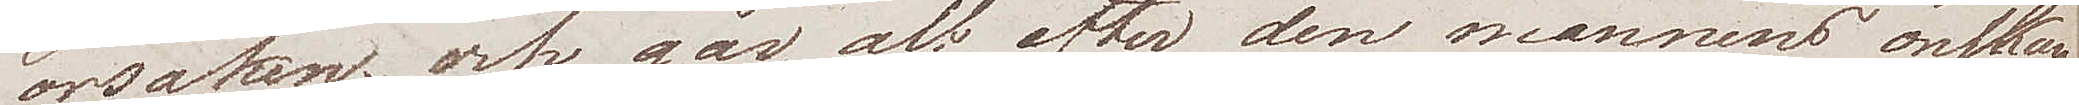orsaken; och går alt efter den mannens önskan
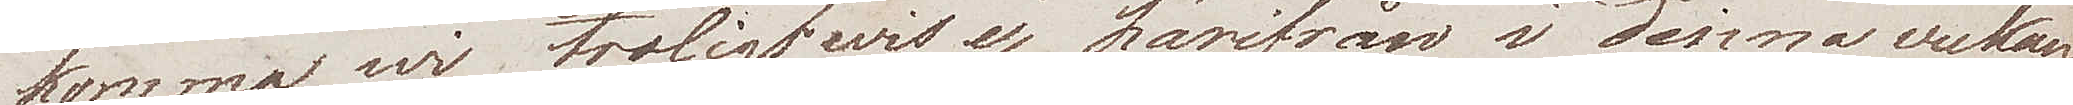komma wi troligtwis ej härifrån i denna veckan.
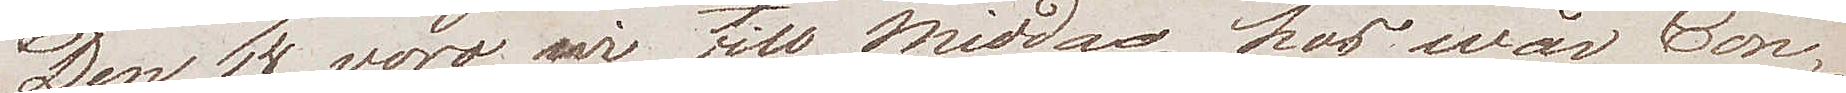Den 14 voro wi till middag hos wår Con¬
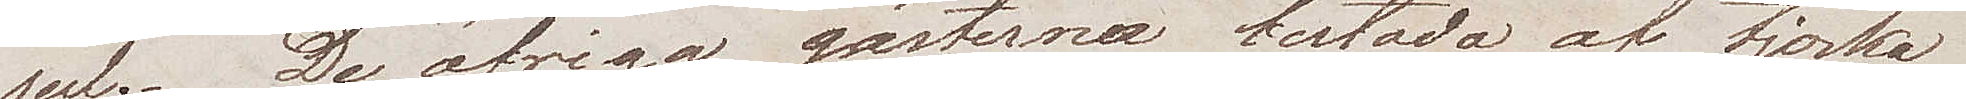sul. De öfriga gästerna bestodo af tjocka
